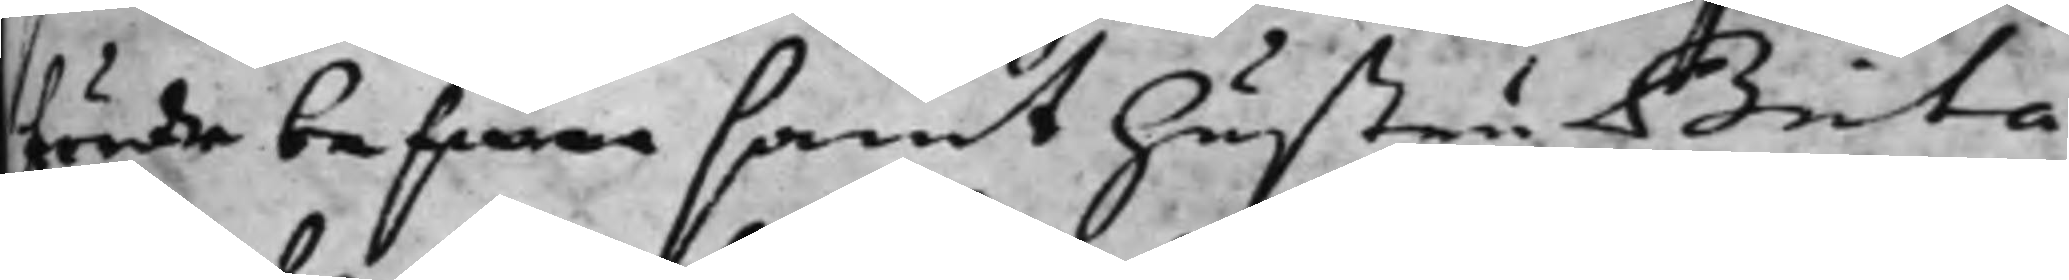förde beswar samt hustru Brita
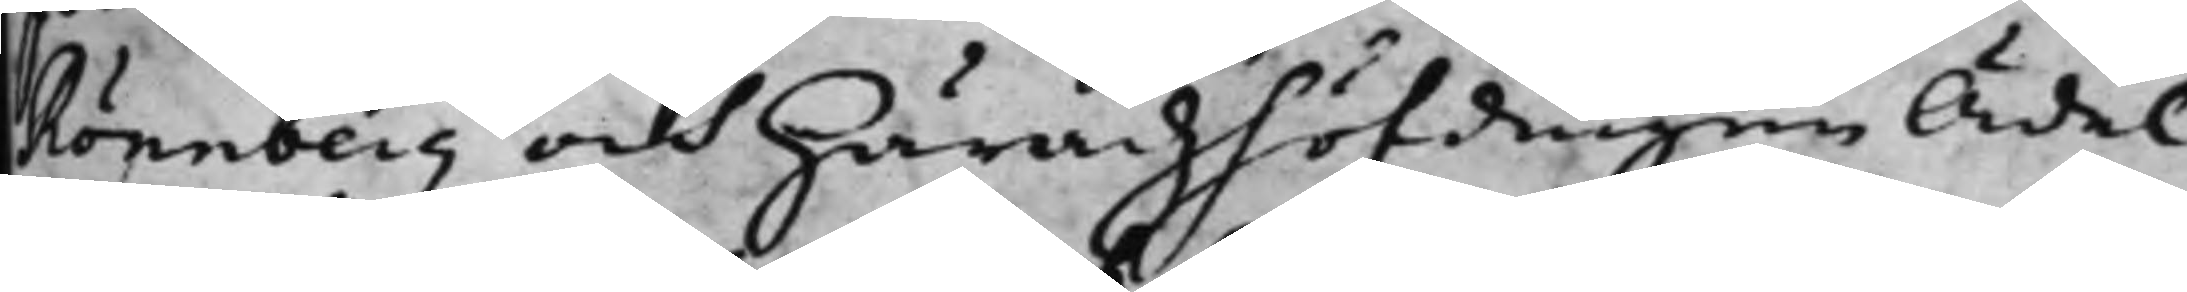Rönnberg och Häradzhöfdingen Ädel
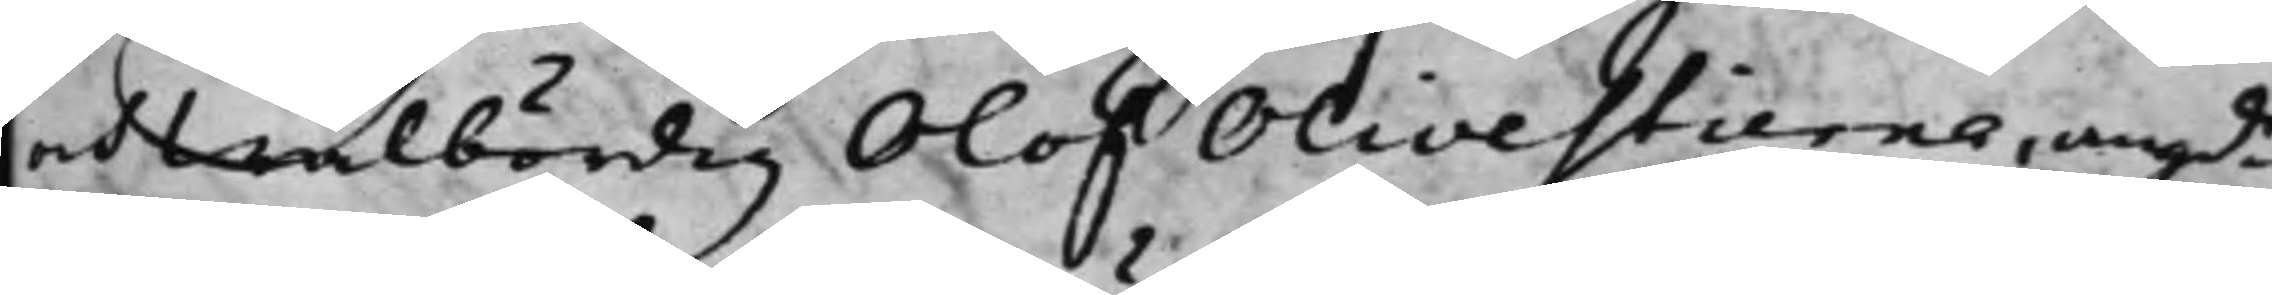at wälbördig Olof Olivestierna, angde
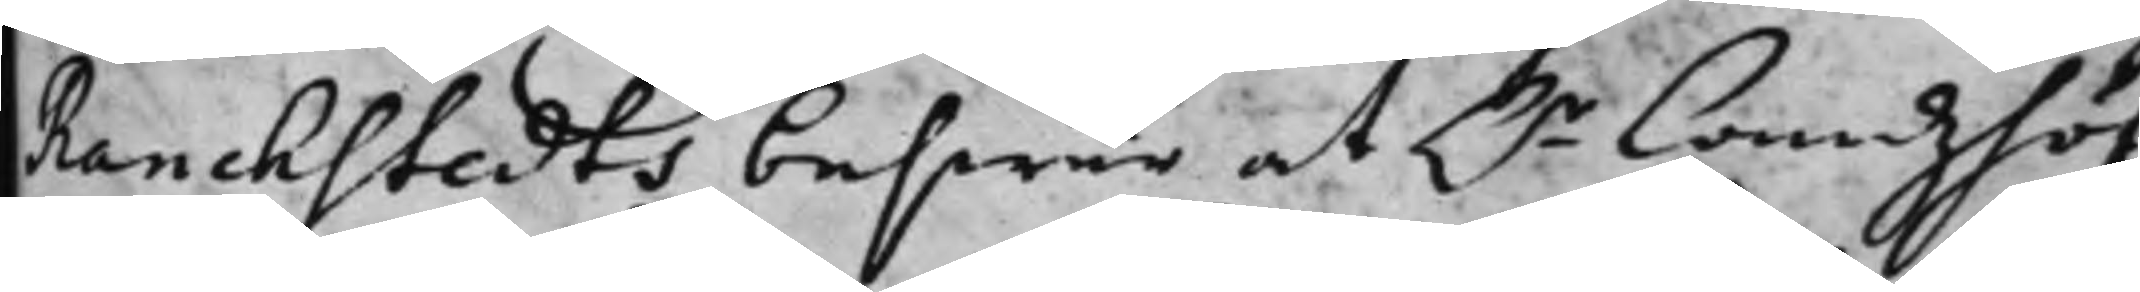Ranckstedts beswär at H.r Landzhöf¬
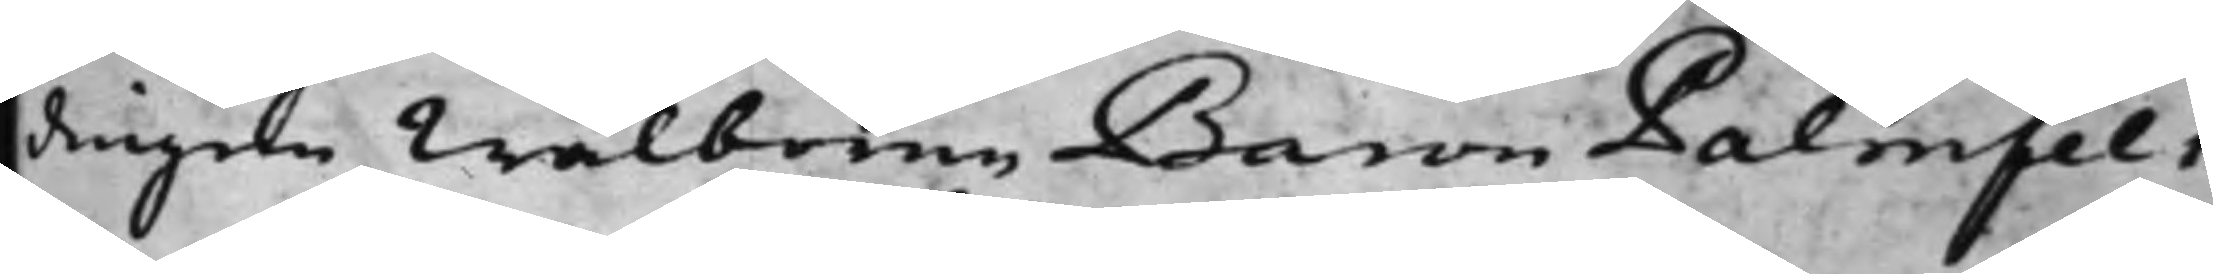dingen Wälborne Baron Palmfelt
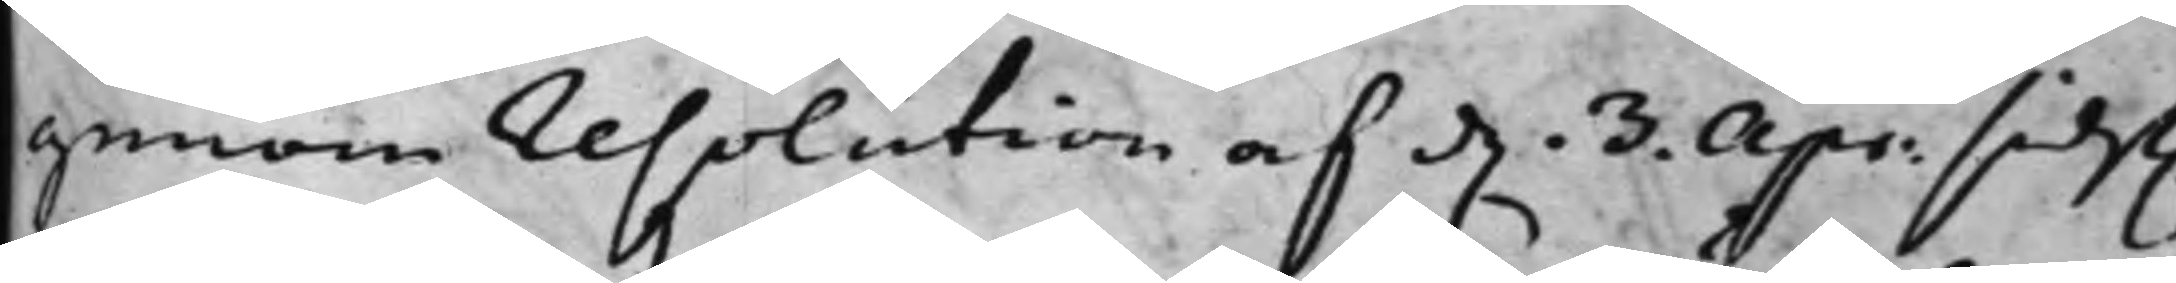genom resolution af d. 3. Apr. sidst.
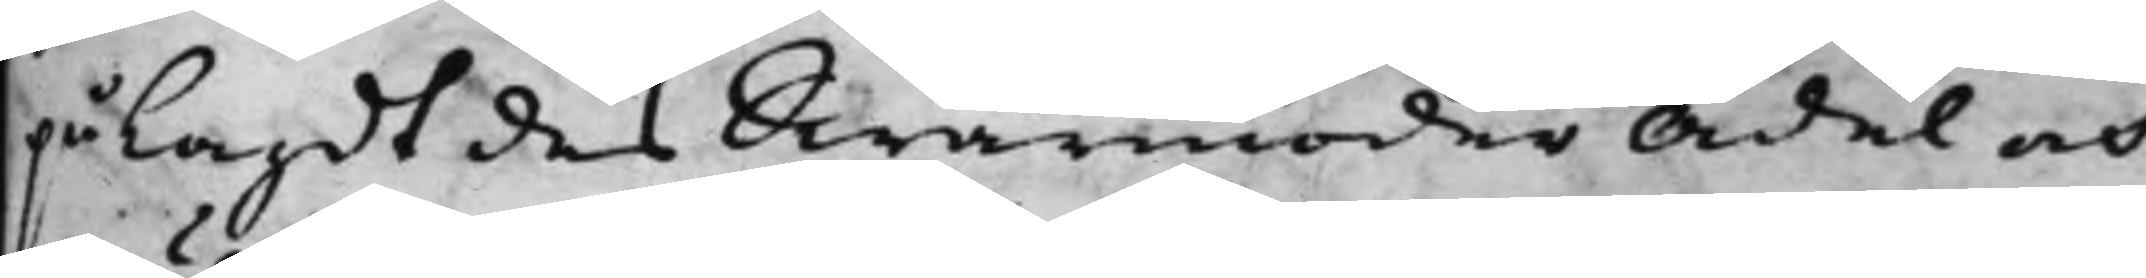pålagdt des Swärmoder Ädel och
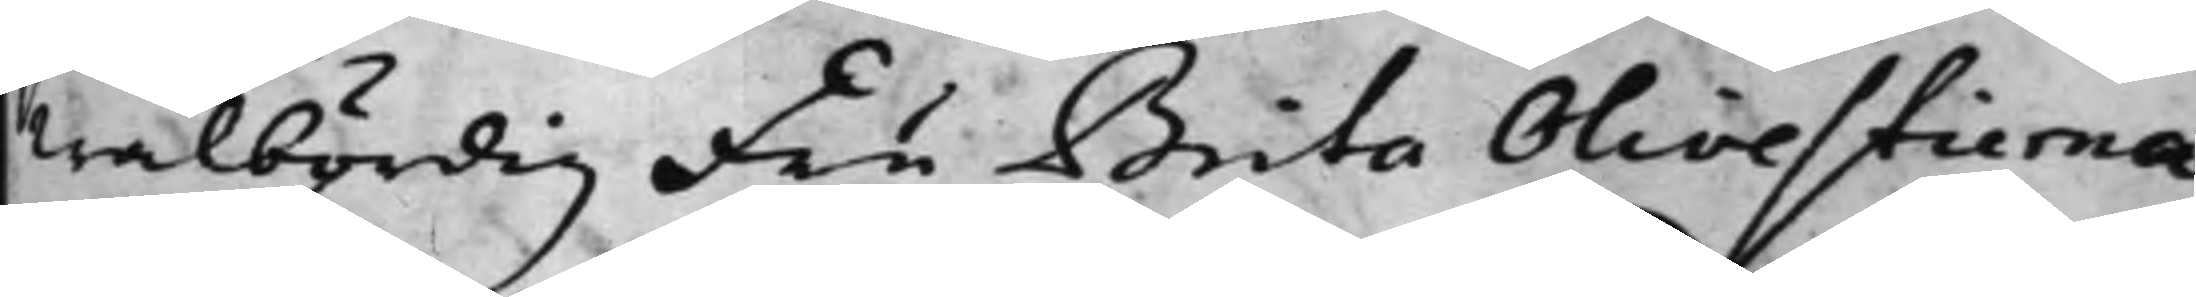wälbördig Fru Brita Olivestierna
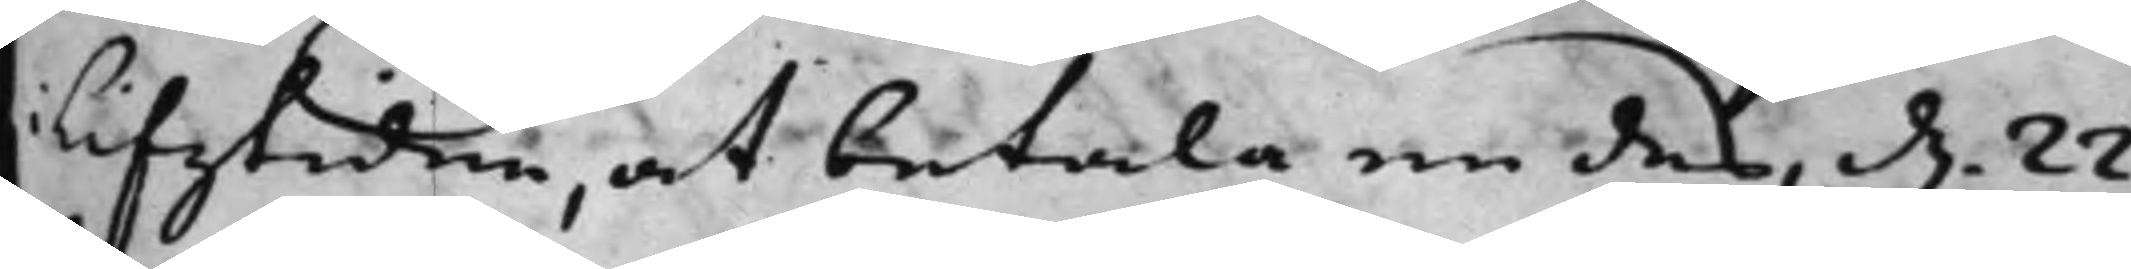i lifstiden, at betala en des d. 22.
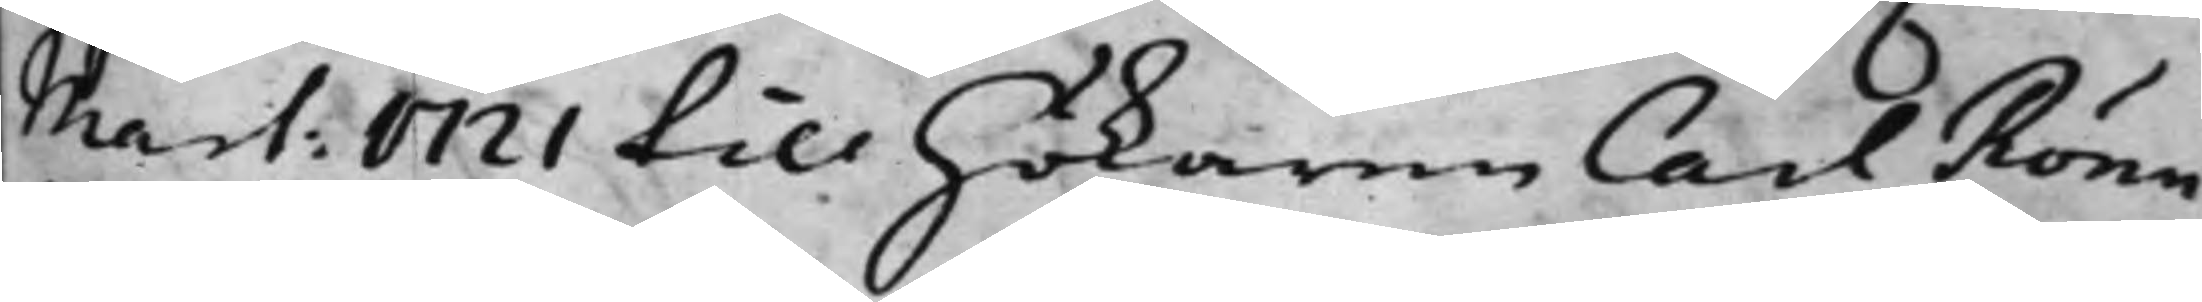Mart: 1721 till Hökaren Carl Rönn¬
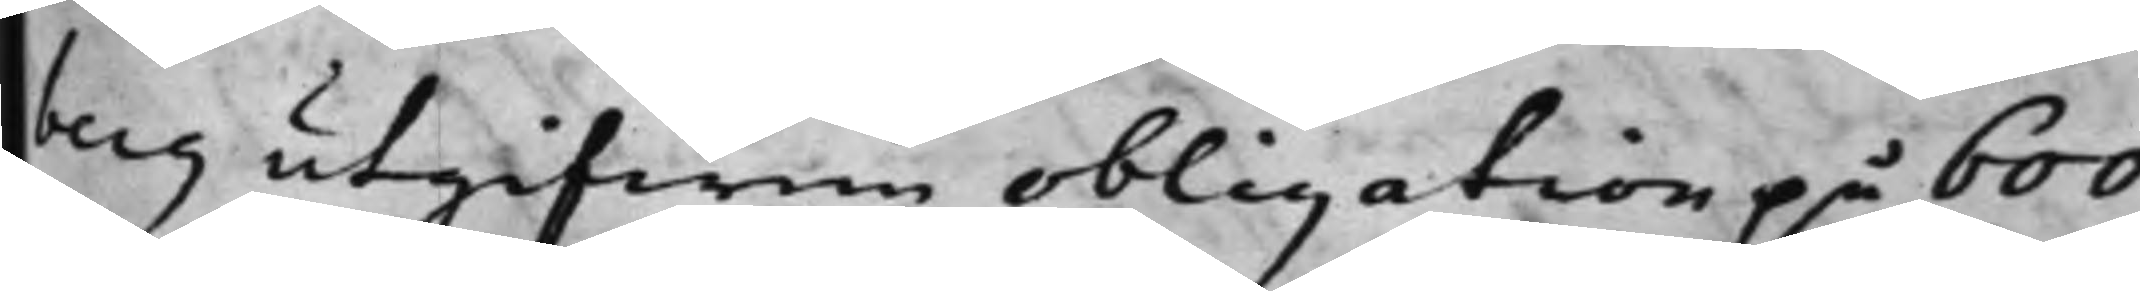berg utgifwen obligation på 600
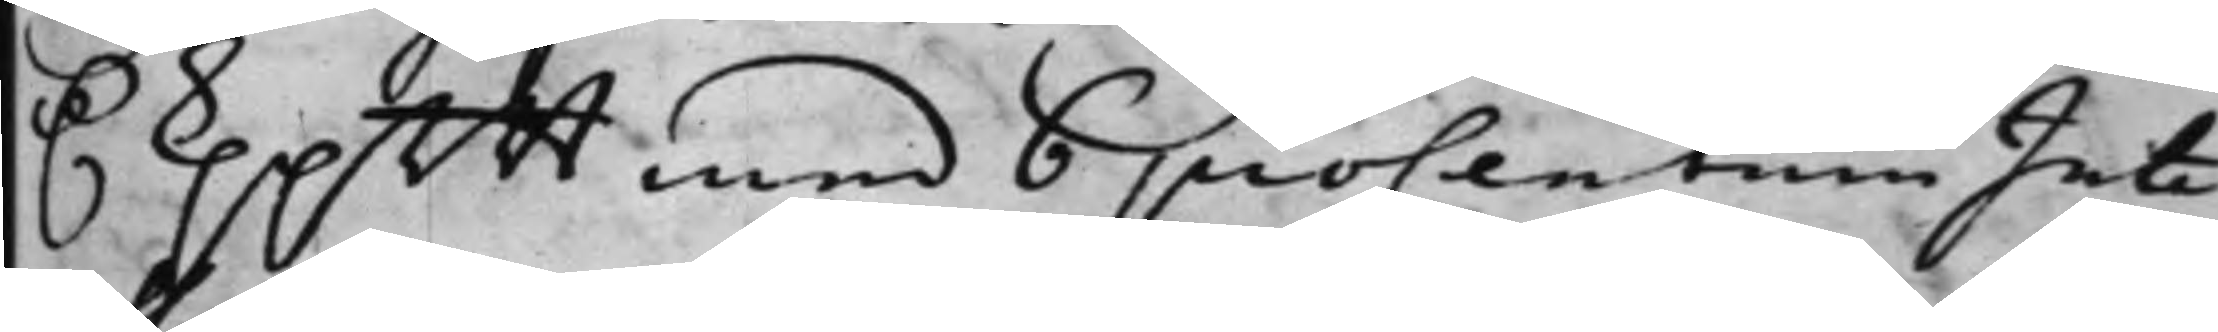D. Kppmt med 6 proCentum Inte¬
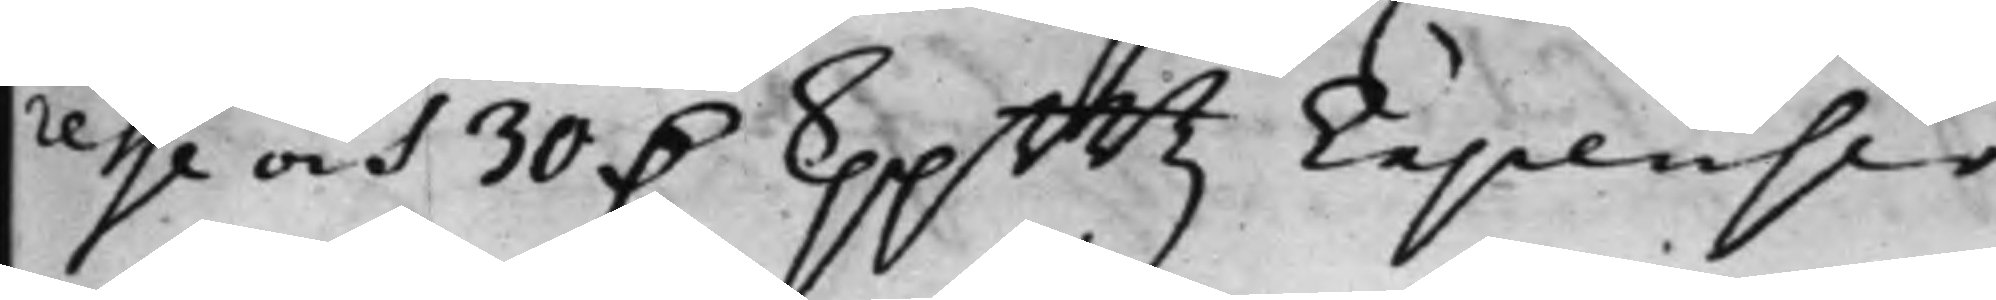resse och 30 D. kppmtz Expenser.
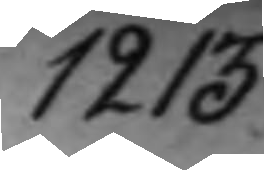1213.
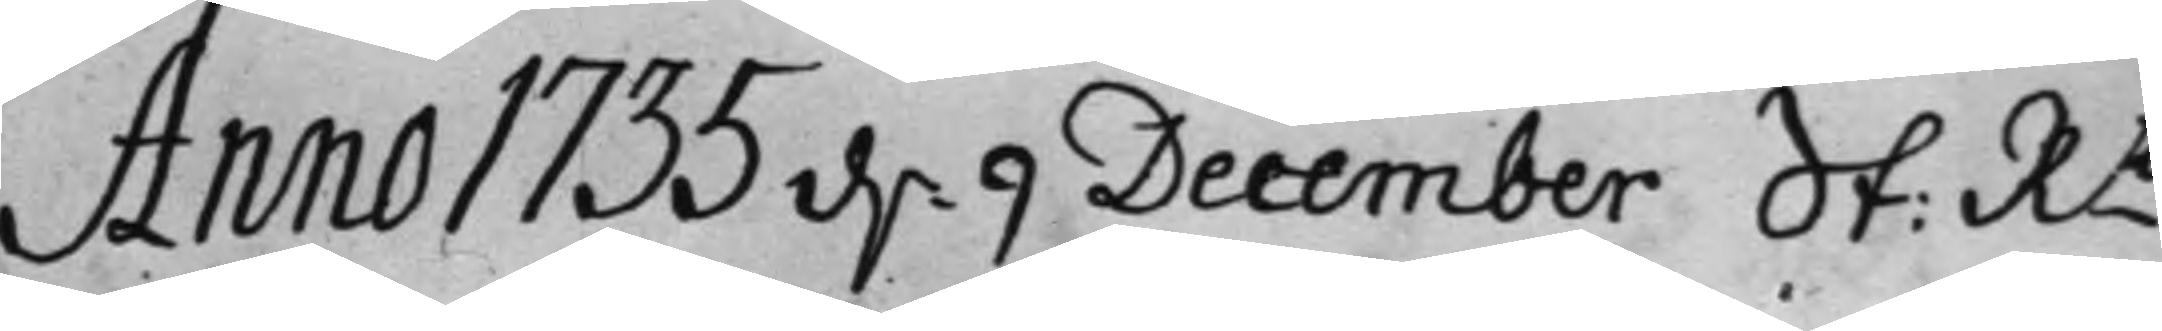Anno 1735 d. 9 December St: Rt
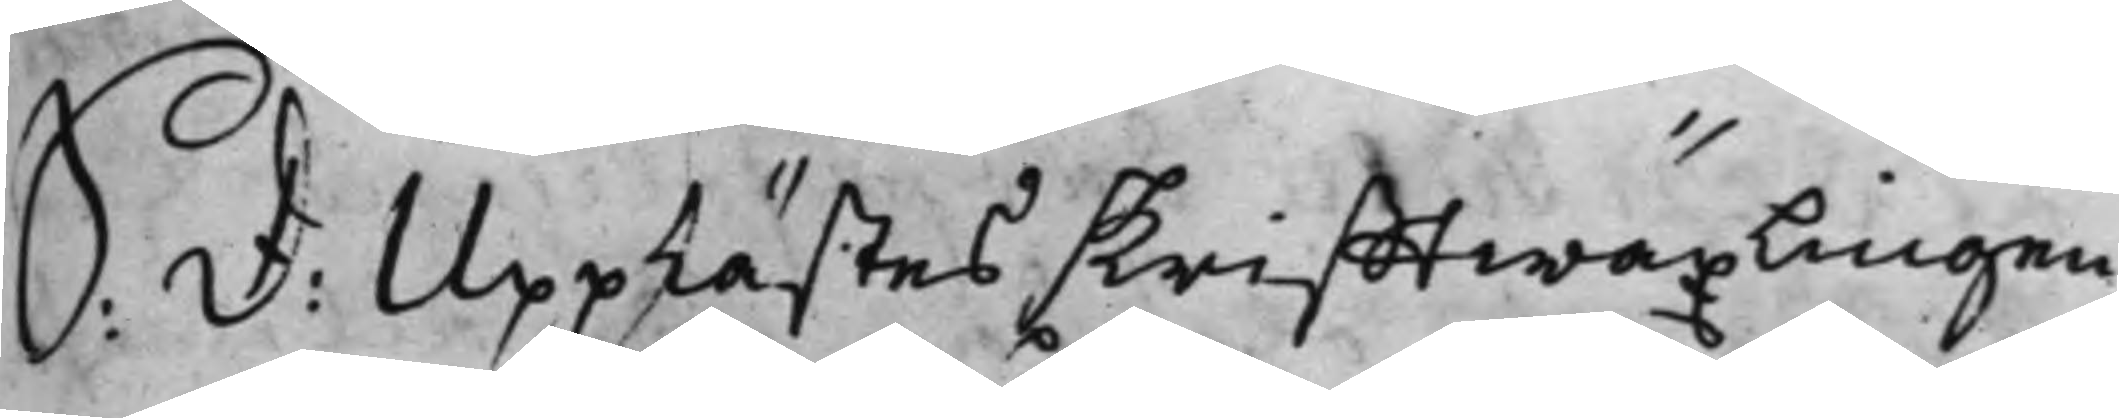S: D: Upplästes skrifftwäxlingen
